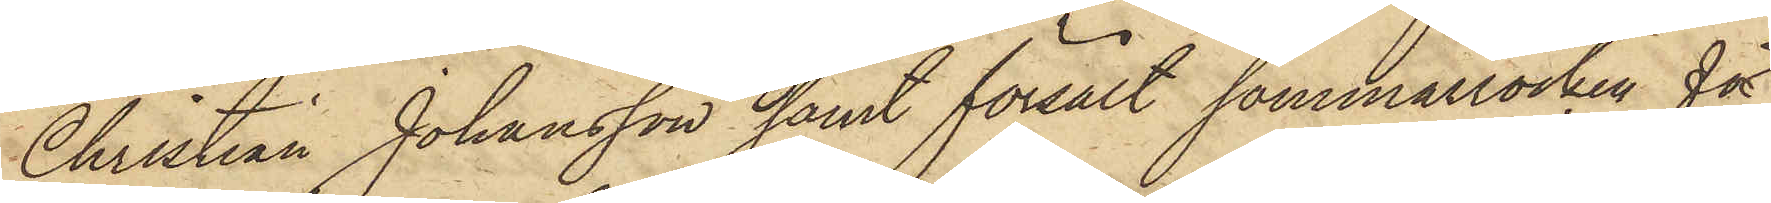Christian Johansson samt försålt sommarrocken för
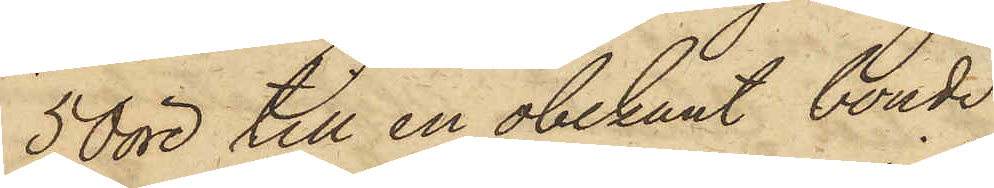50 öre till en obekant bonde
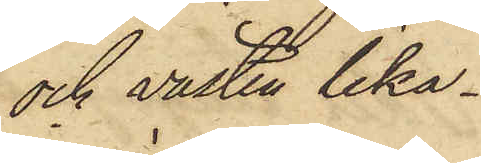och västen lika¬
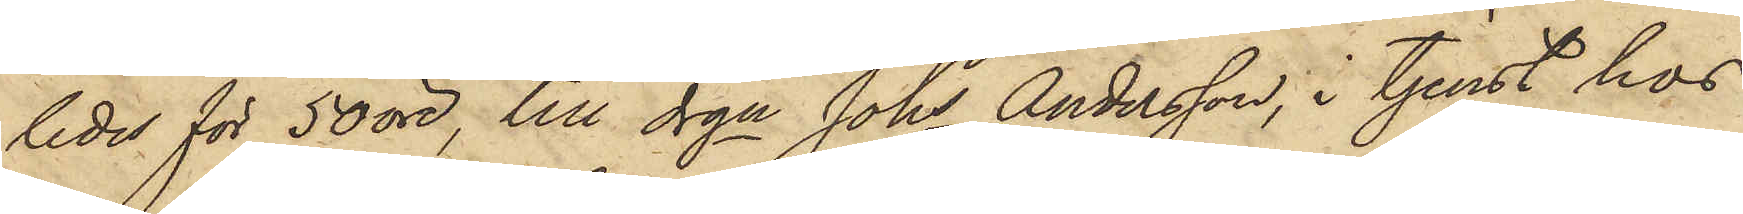ledes för 50 öre, till drgn Johs Andersson, i tjenst hos
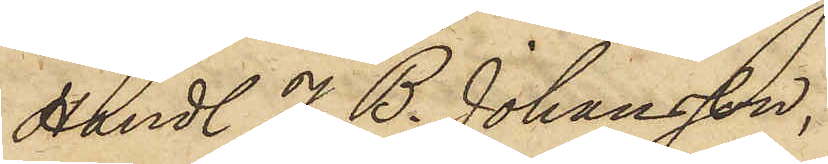Handl. J. B. Johansson,
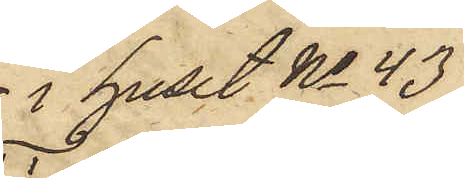i huset No 43
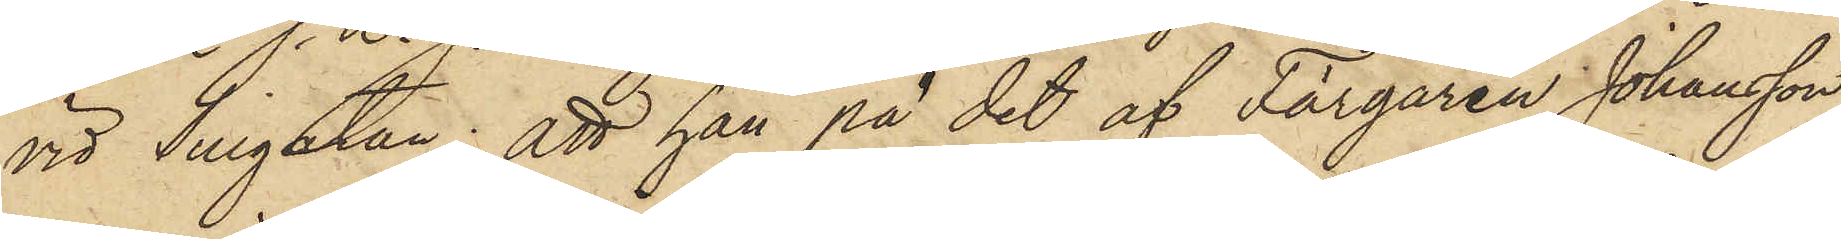vid Sillgatan; att han på det af Färgaren Johansson
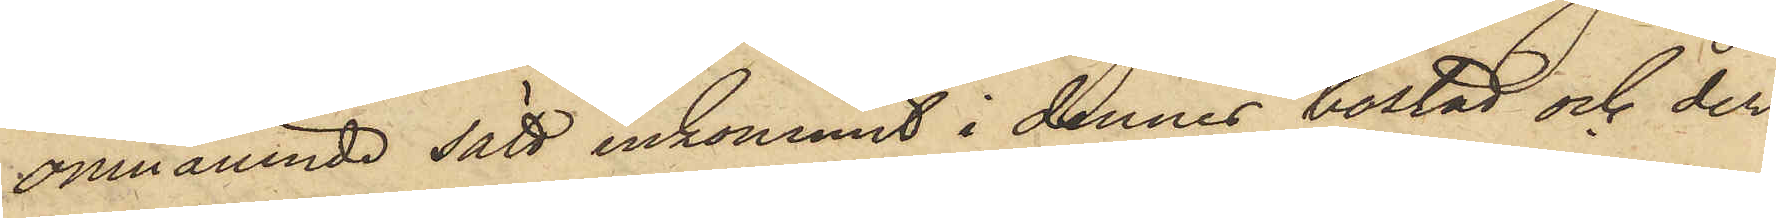omnämnde sätt inkommit i dennes bostad och der
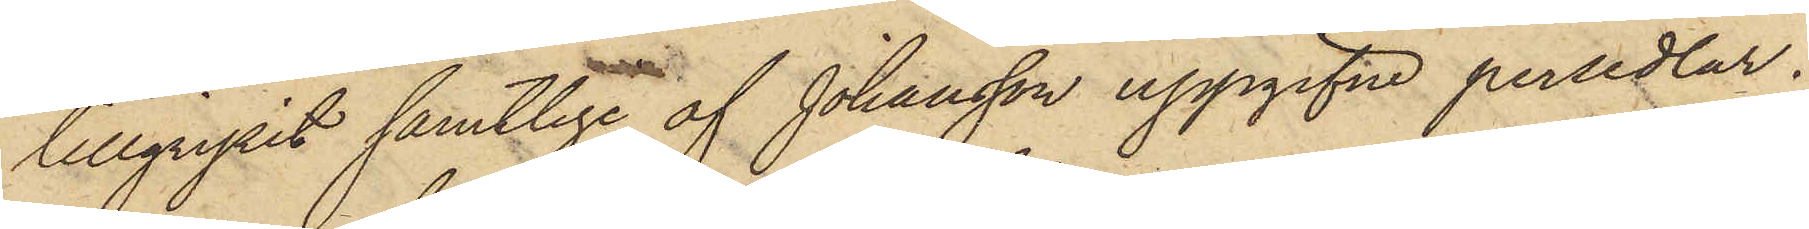tillgripit samtlige af Johansson uppgifne persedlar;
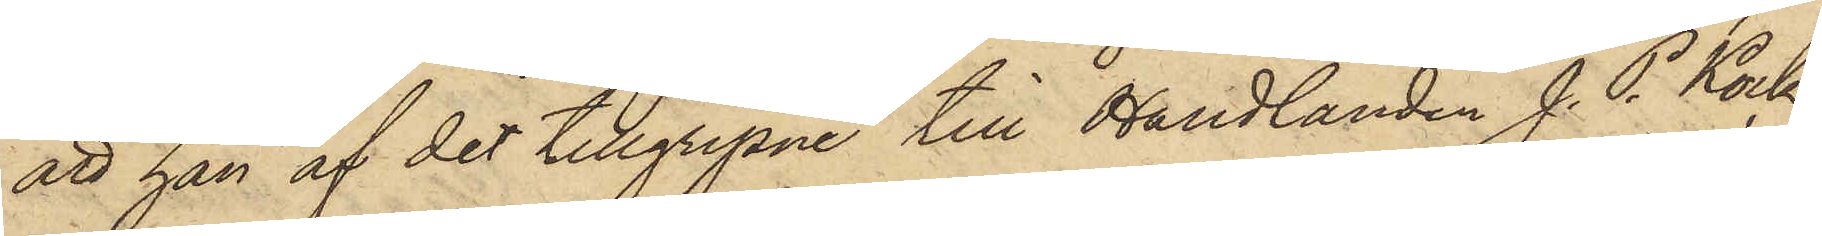att han af det tillgripne till Handlanden J. P. Kock
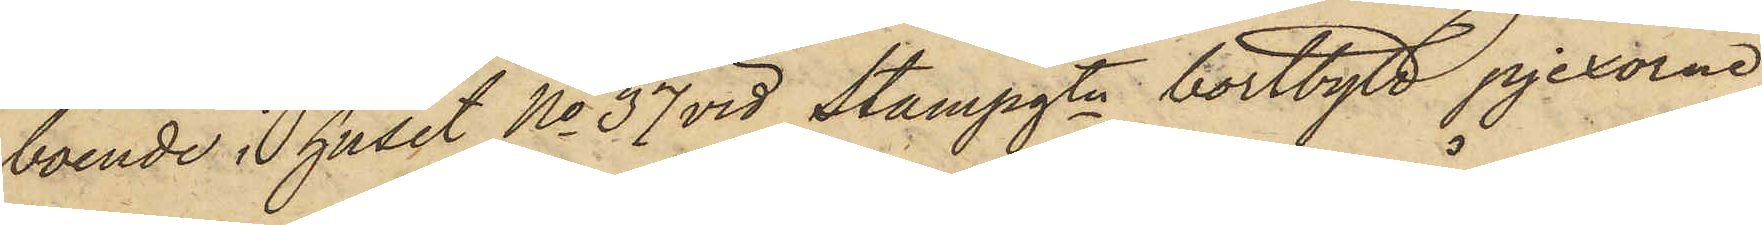boende i huset No 37 vid Stampgtn bortbytt pjexorne
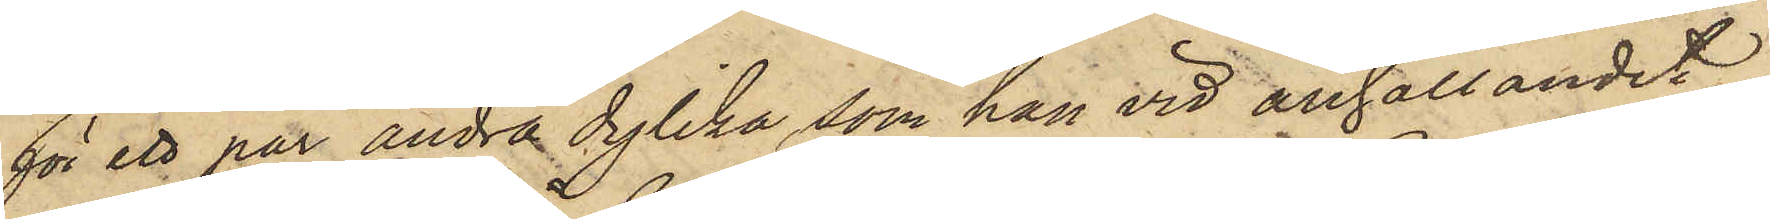för ett par andra dylika, som han vid anhållandet
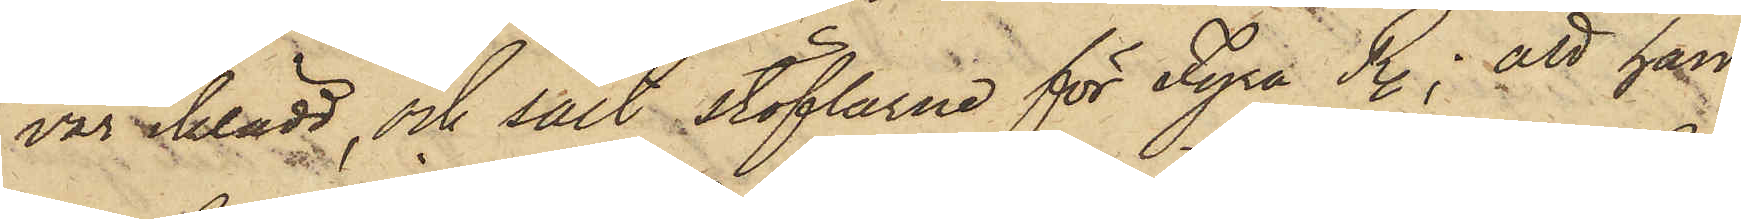var iklädd, och sålt stöflarne för Fyra R.; att han
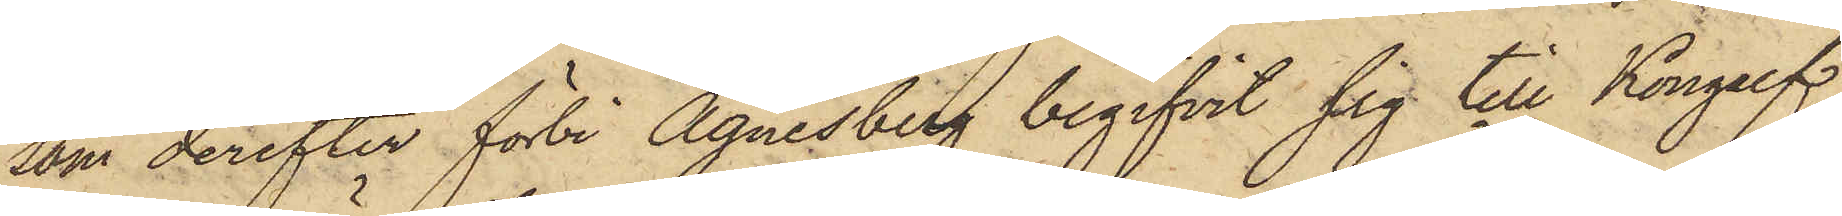som derefter förbi Agnesberg begifvit sig till Kongelf,
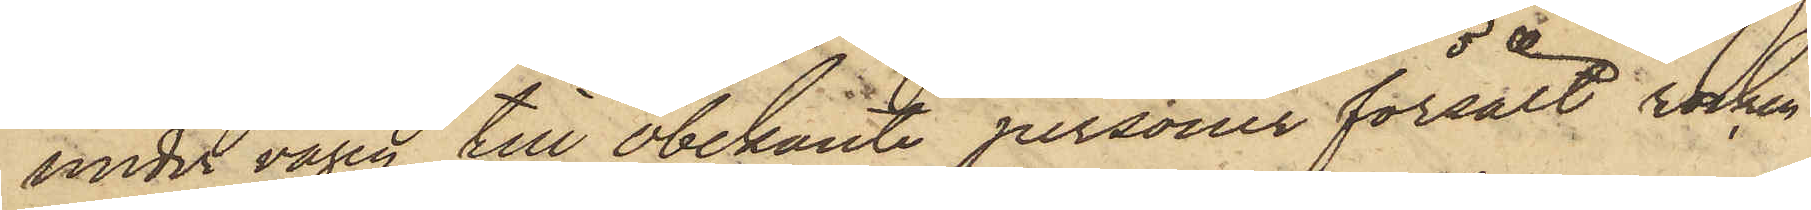under vägen till obekante personer försålt rocken
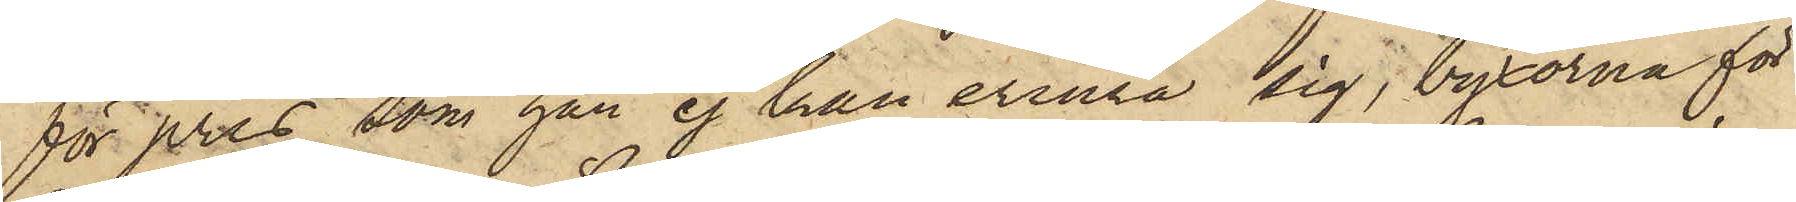för pris som han ej kan erinra sig, byxorna för
